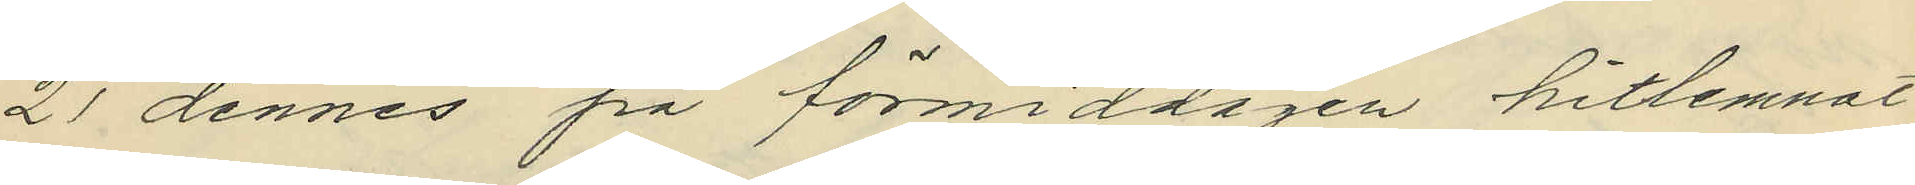21 dennes på förmiddagen hitlemnat
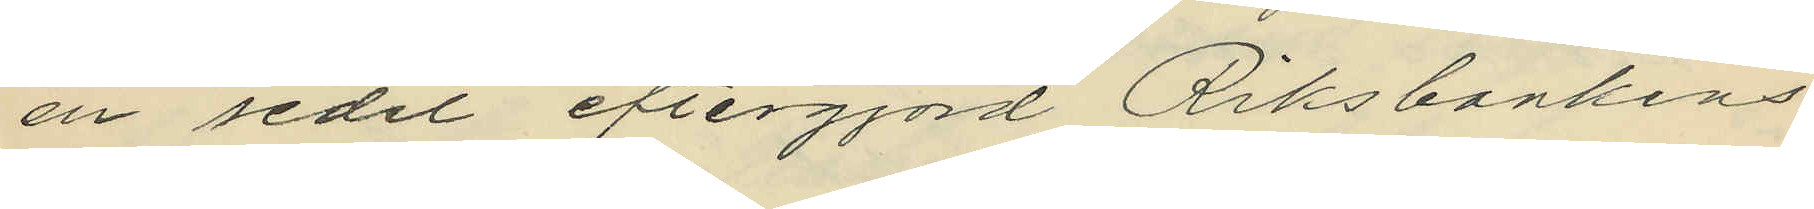en sedel eftergjord Riksbankens
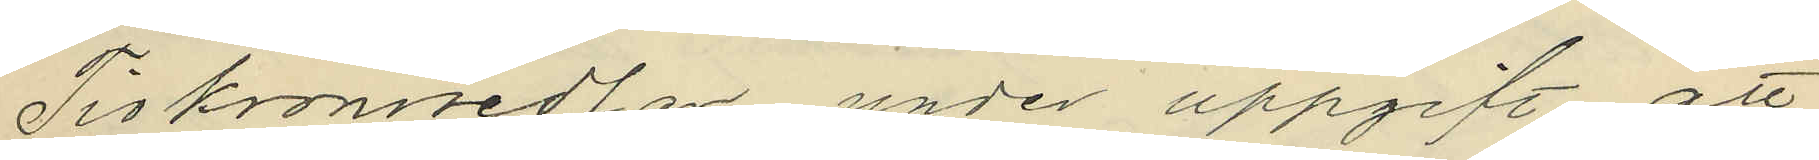Tiokronosedlar, under uppgift att
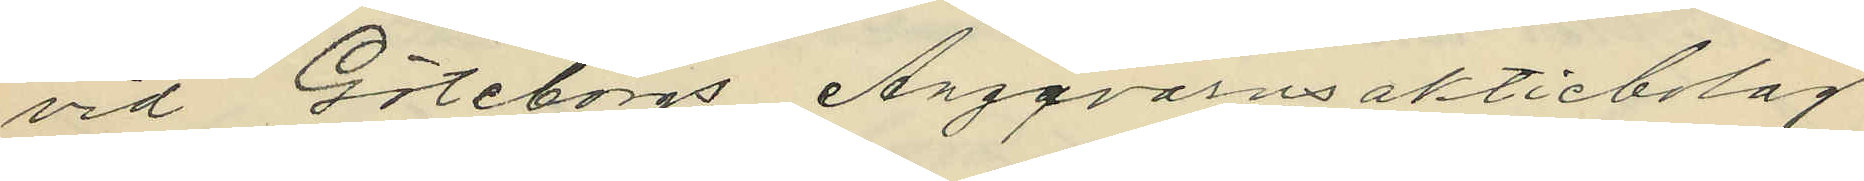vid Göteborgs Ångqvarnsaktiebolag
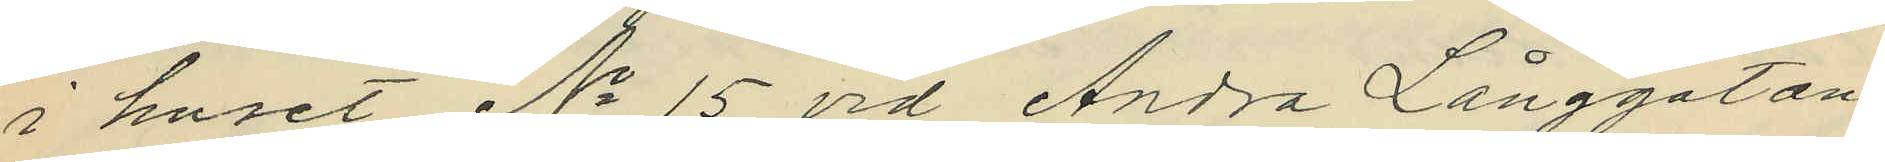i huset No 15 vid Andra Långgatan
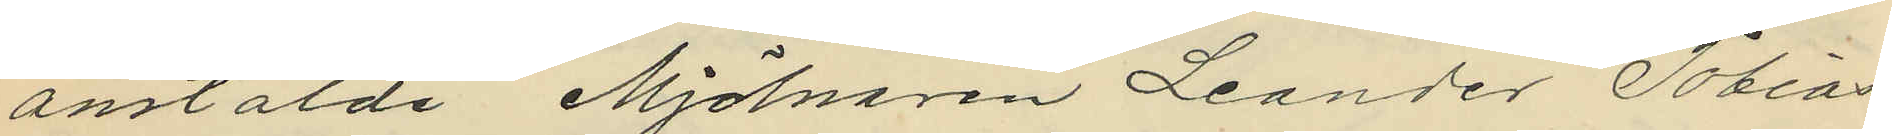anstälde Mjölnaren Leander Tobias¬
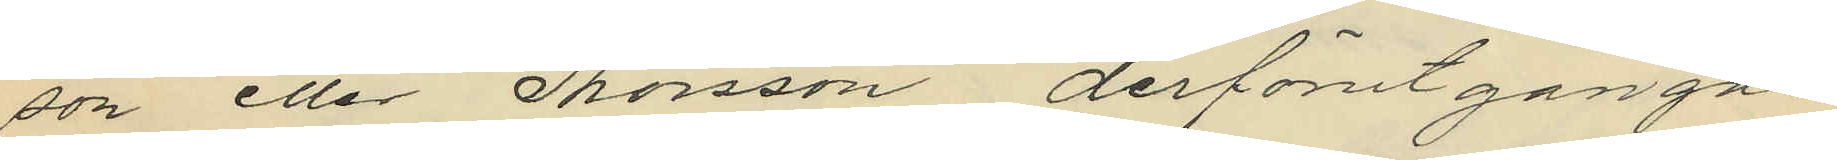son eller Thorsson derförutgångne
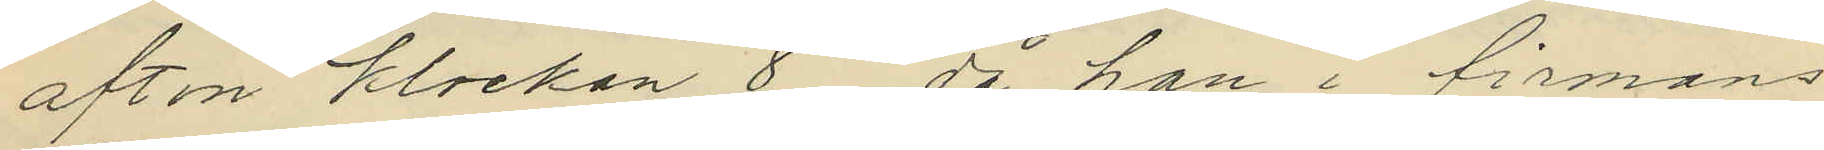afton klockan 8, då han i firmans
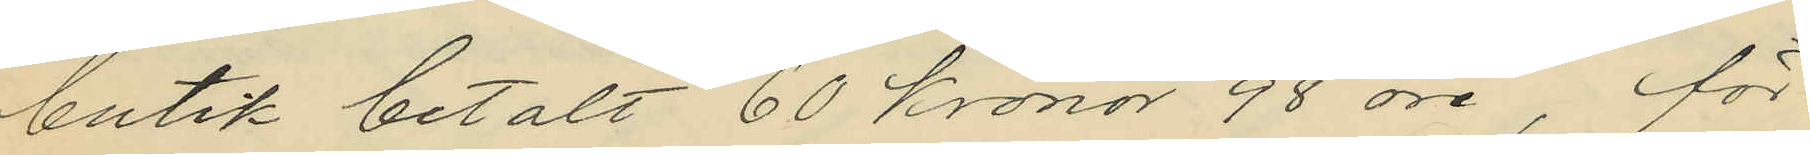butik betalt 60 kronor 98 öre, för
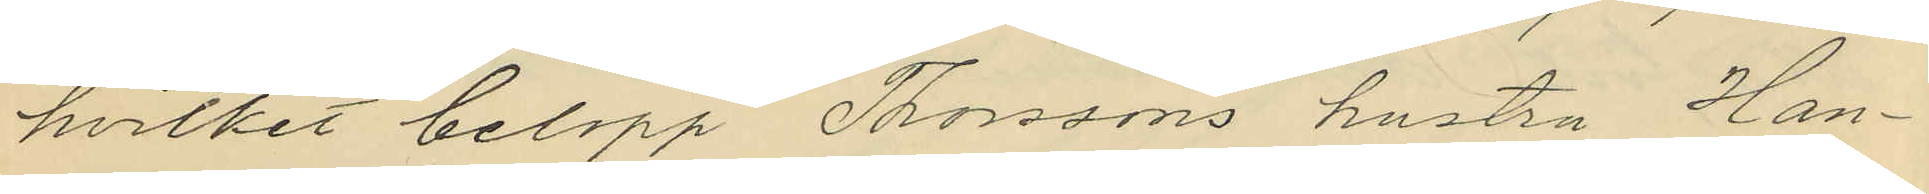hvilket belopp Thorssons hustru Han¬
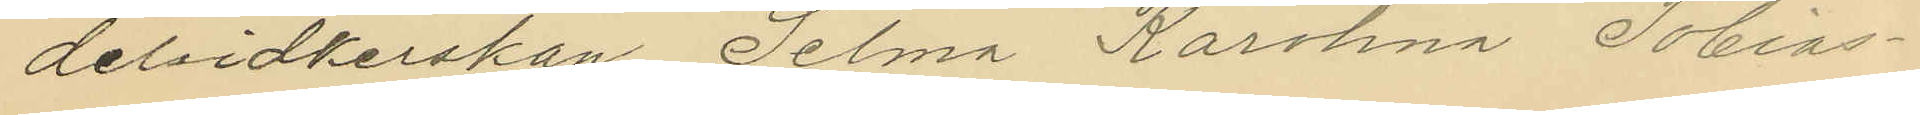delsidkerskan Selma Karolina Tobias¬
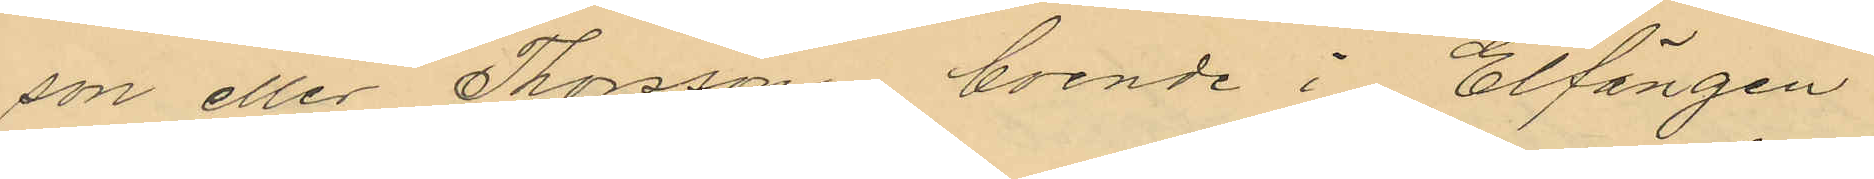son eller Thorsson, boende i Elfängen
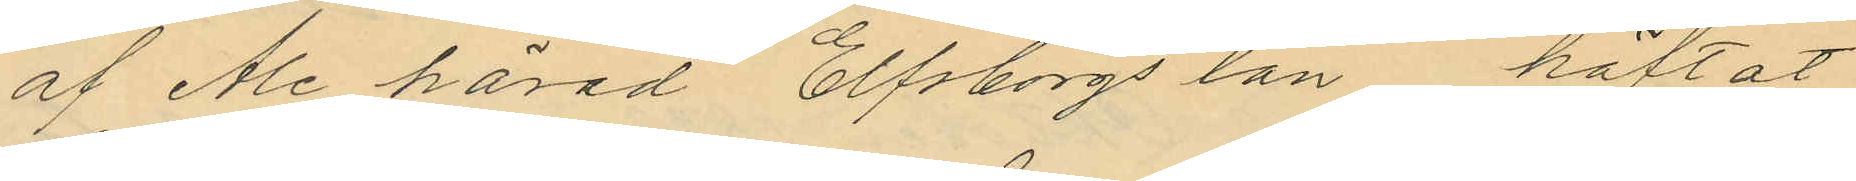af Ale härad Elfsborgs län, häftat
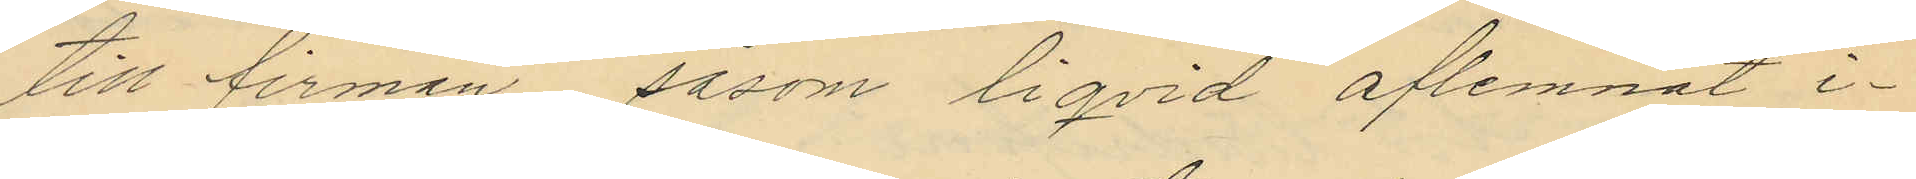till firman, såsom ligvid aflemnat i¬
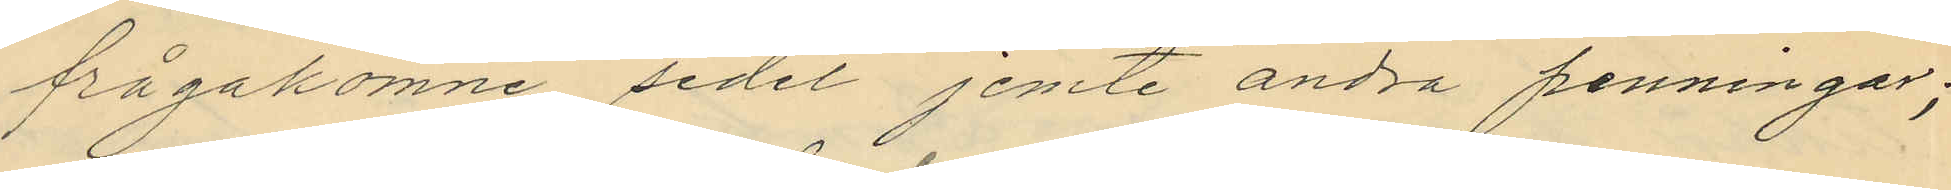frågakomne sedel jemte andra penningar;
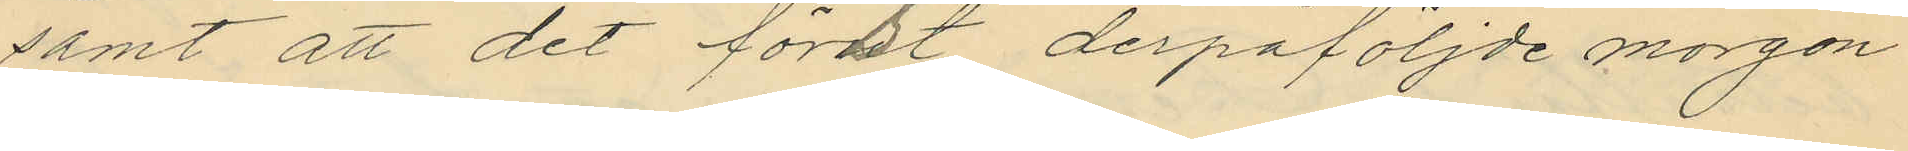samt att det först derpåföljde morgon
